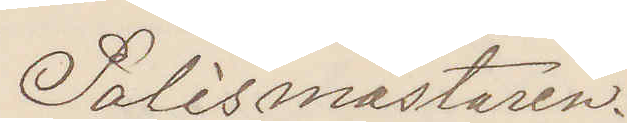Polismästaren.
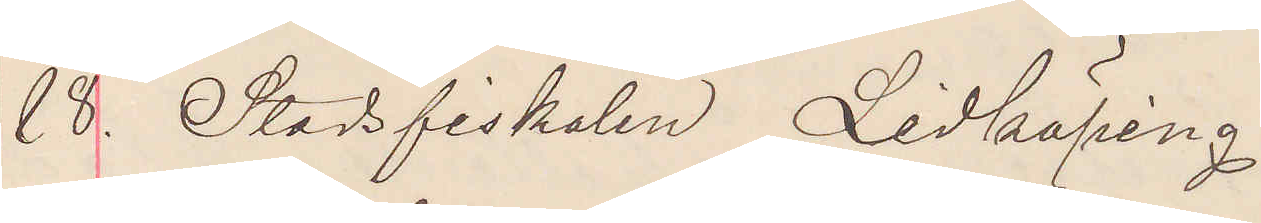18. Stadsfiskalen Lidköping
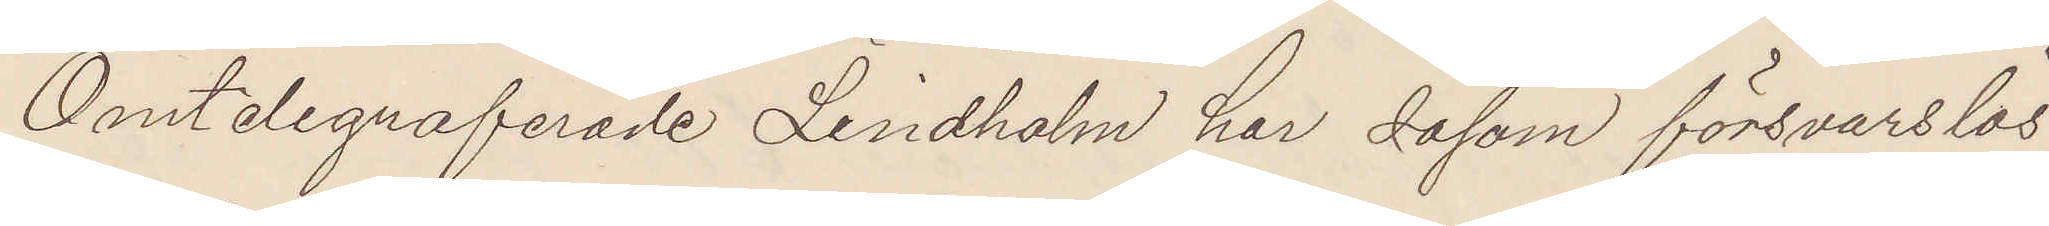Omtelegraferade Lindholm har såsom försvarslös
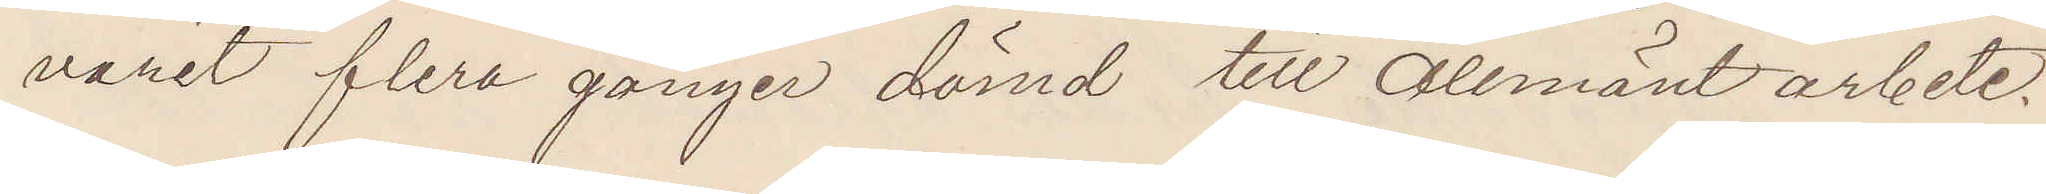varit flera gånger dömd till Allmänt arbete.
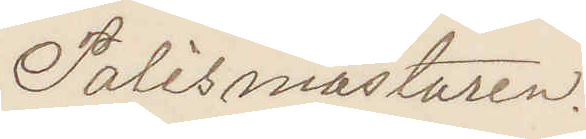Polismästaren.
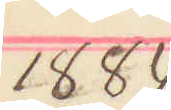1884
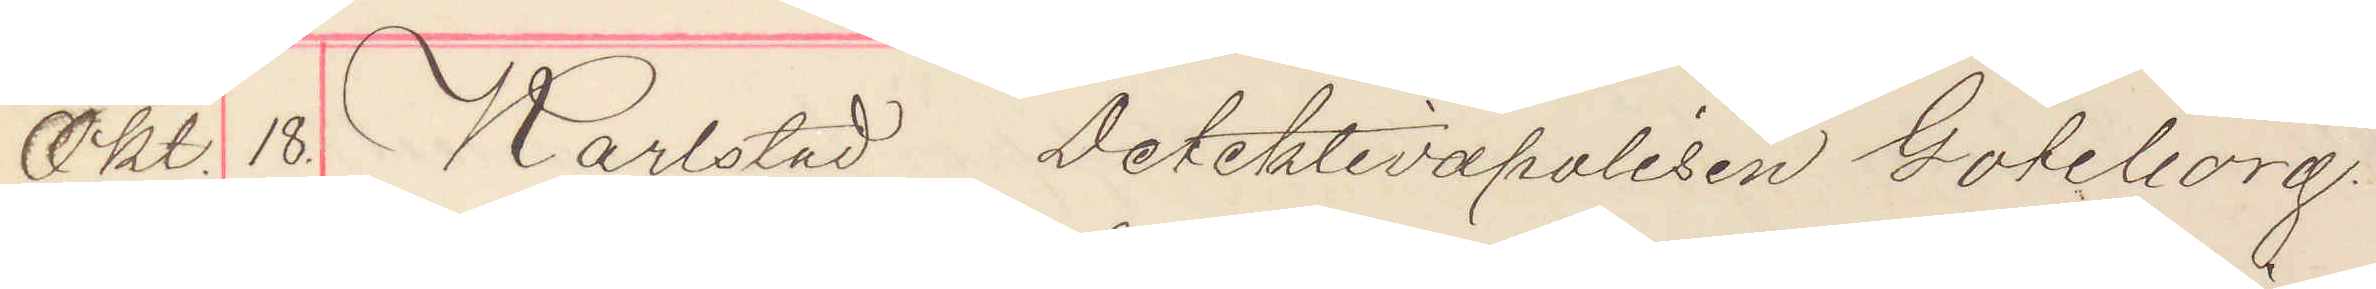Okt. 18. Karlstad Detektivapolisen Göteborg.
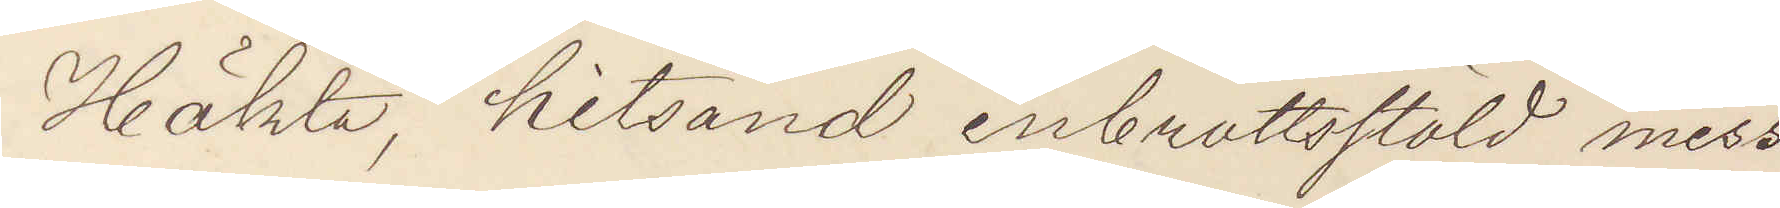Häkta, hitsänd inbrottsstöld miss¬
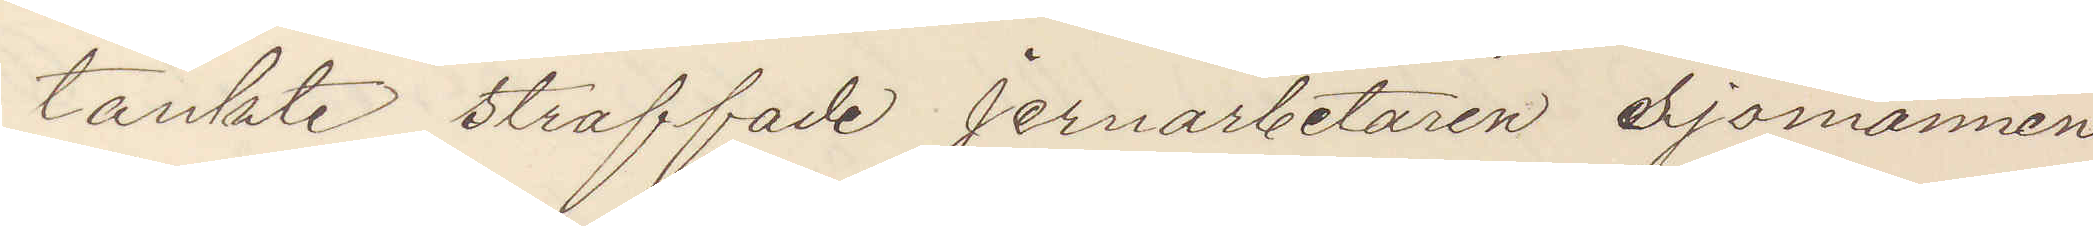tänkte straffade jernarbetaren Sjömannen
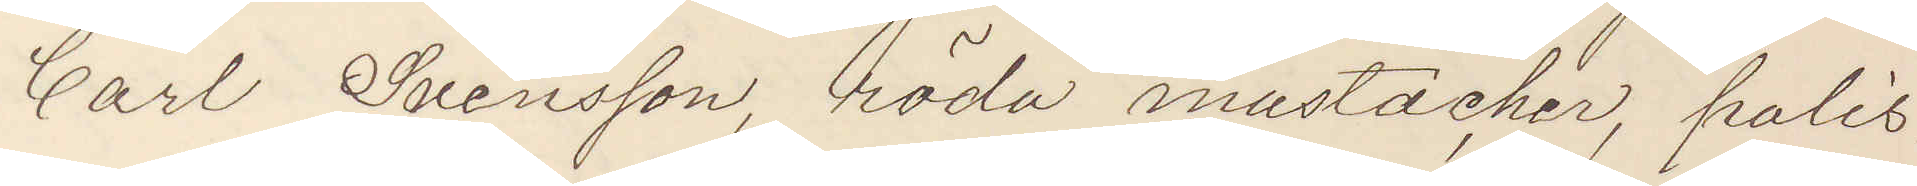Carl Svensson, röda mustacher, polis¬
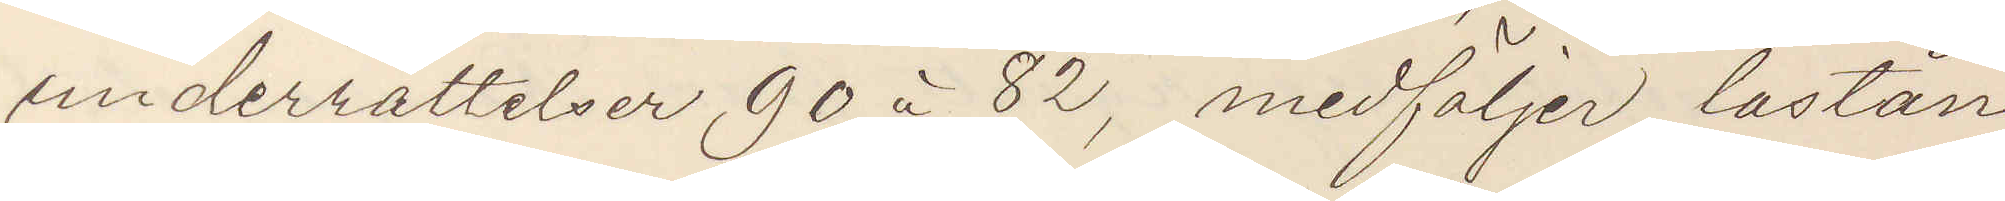underrättelser 90 à 82, medföljer lastån¬
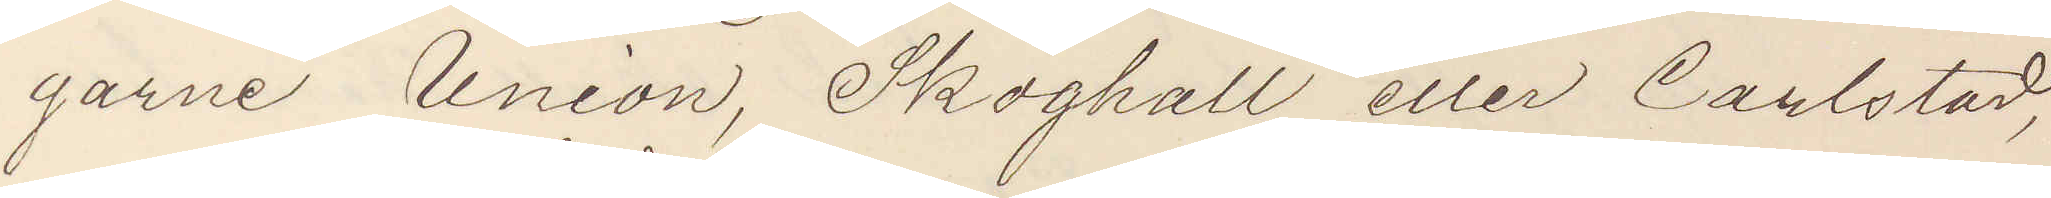garne Union, Skoghall eller Carlstad,
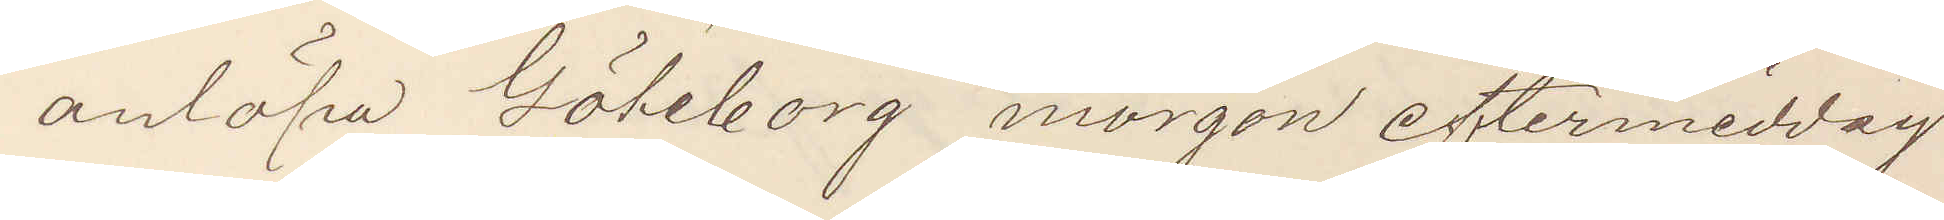anlöpa Göteborg morgon eftermiddag
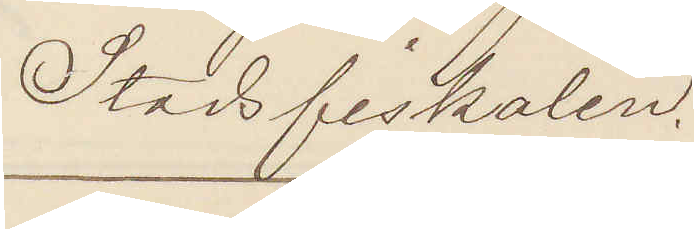Stadsfiskalen.
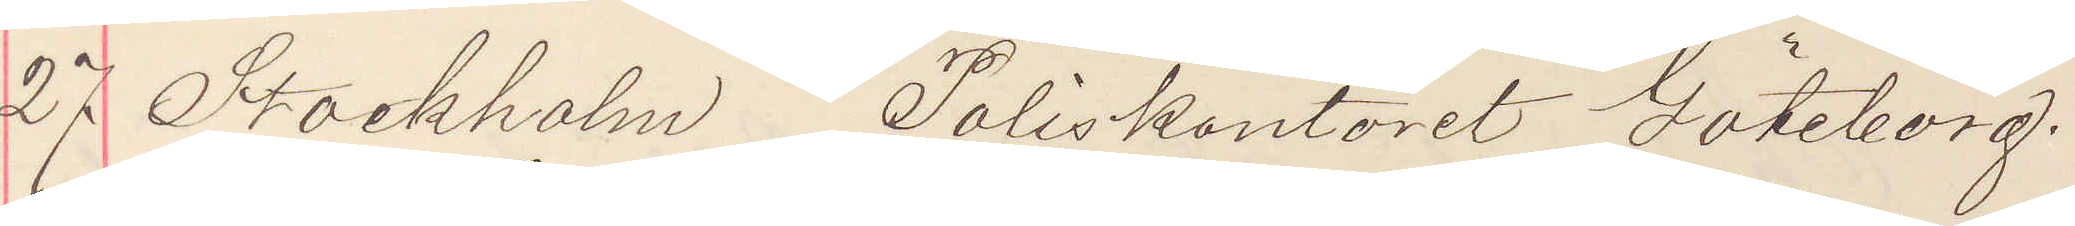27 Stockholm Poliskontoret Göteborg.
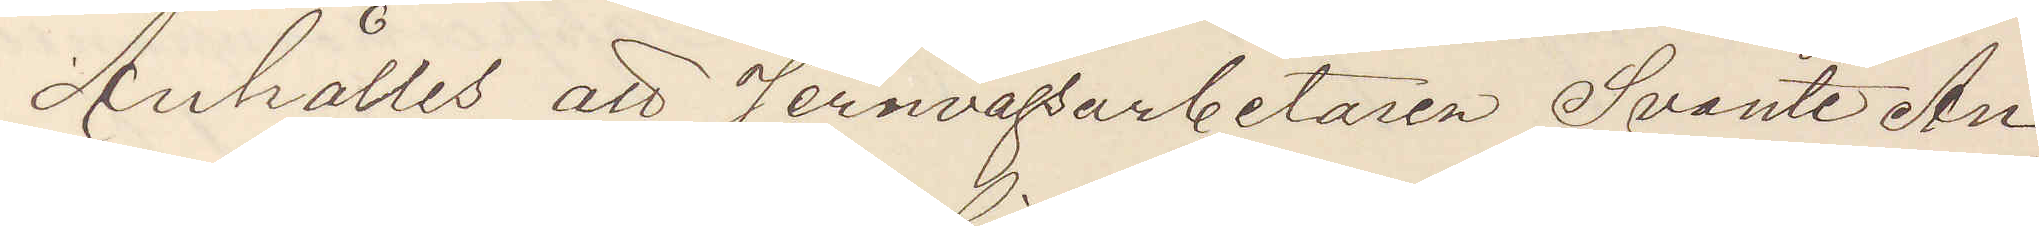Anhålles att Jernvägsarbetaren Svante An¬
